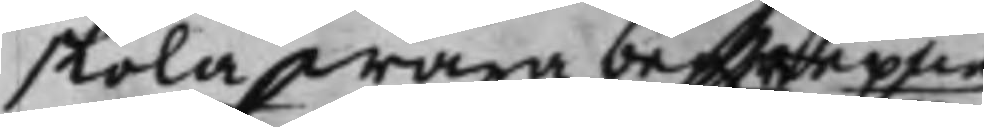skola wara beskrepne
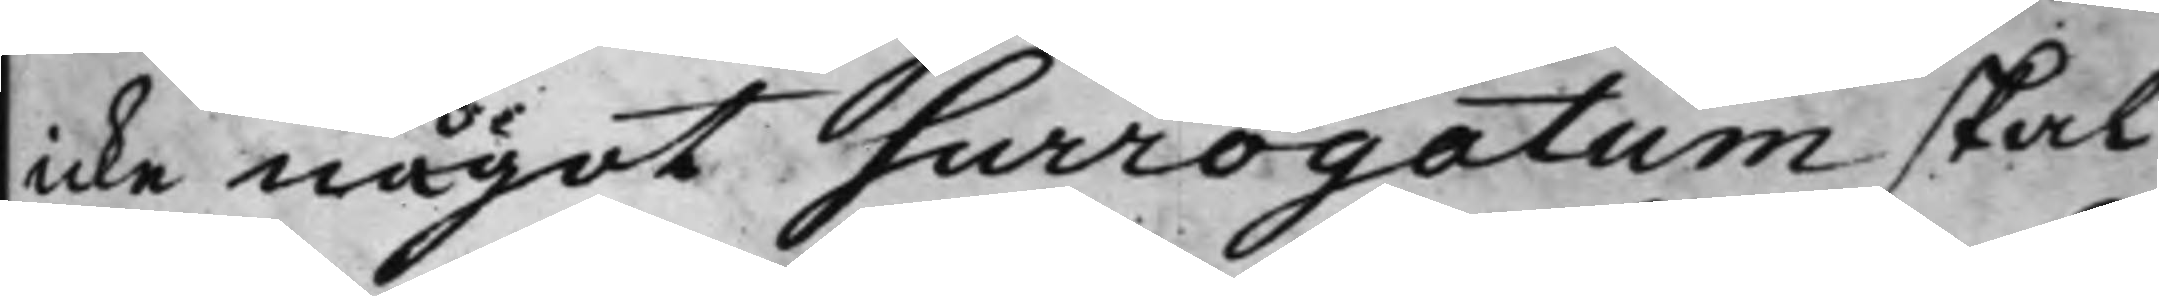icke något Surrogatum skal
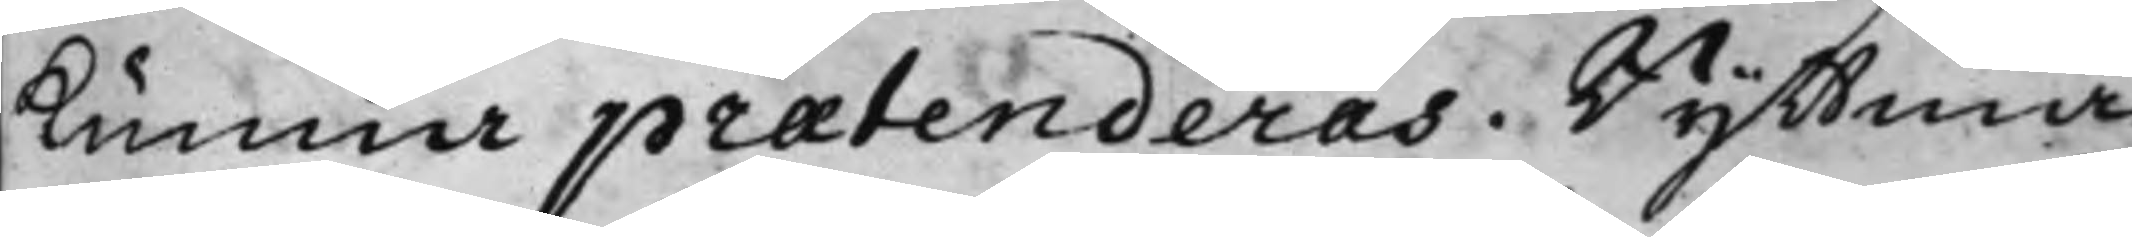kunna praetenderas. Ryttmä¬
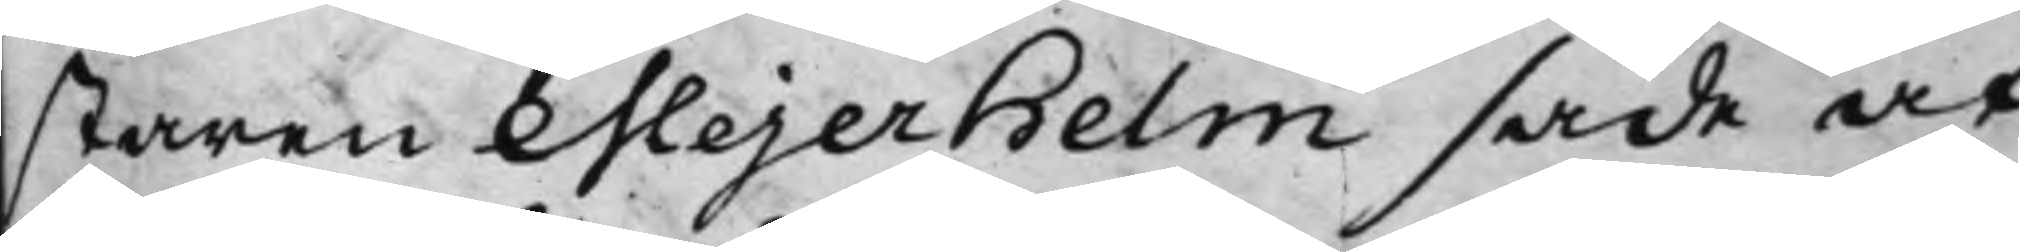staren Mejerhelm sade at
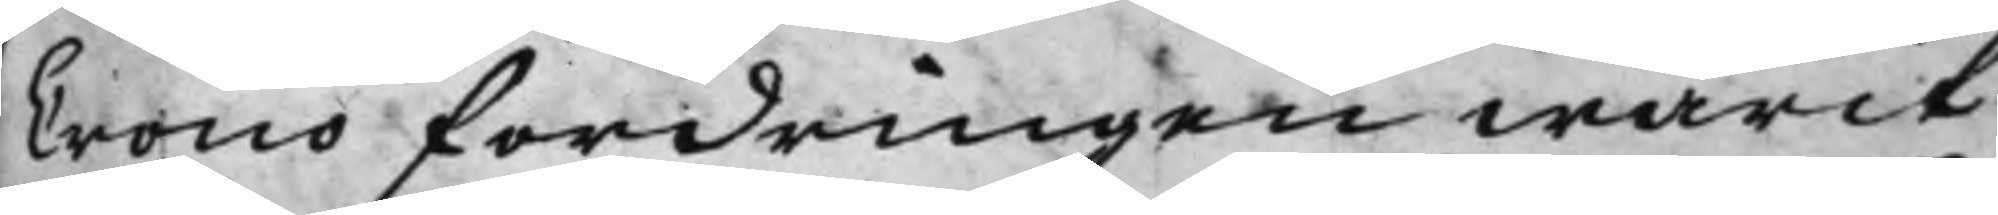Crono fordringen warit
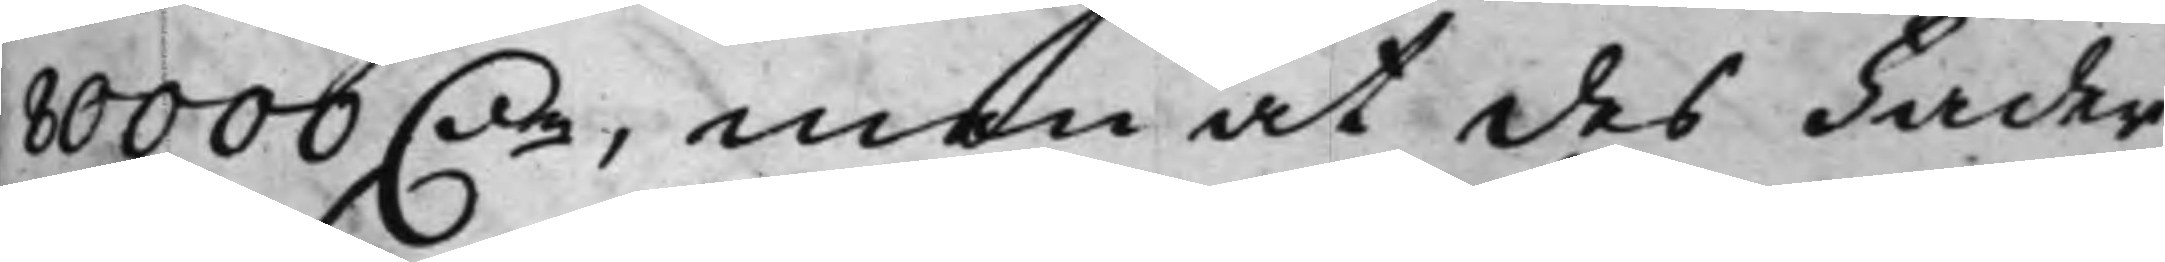80000 D.r, men at des Fader
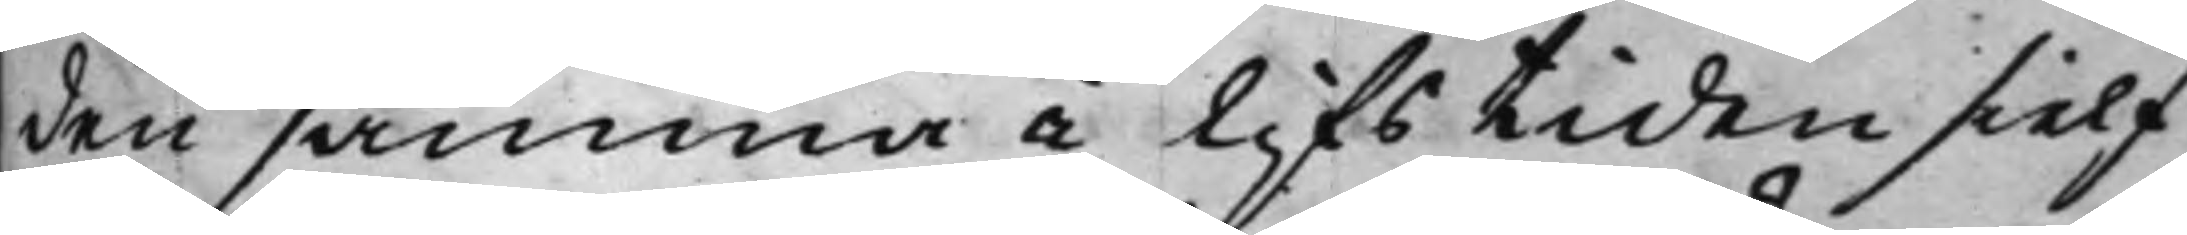den samma i Lifstiden sielf
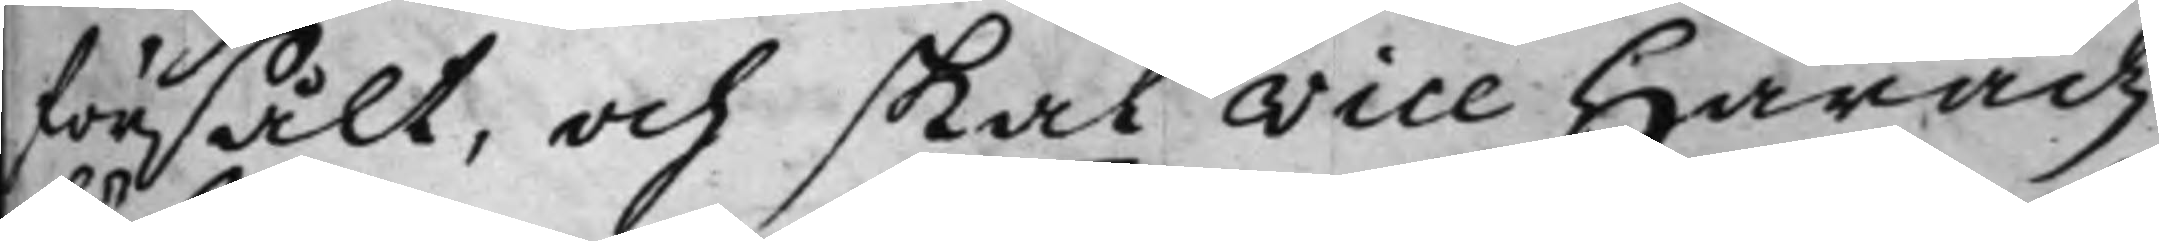försålt, och skal Vice Häradz¬
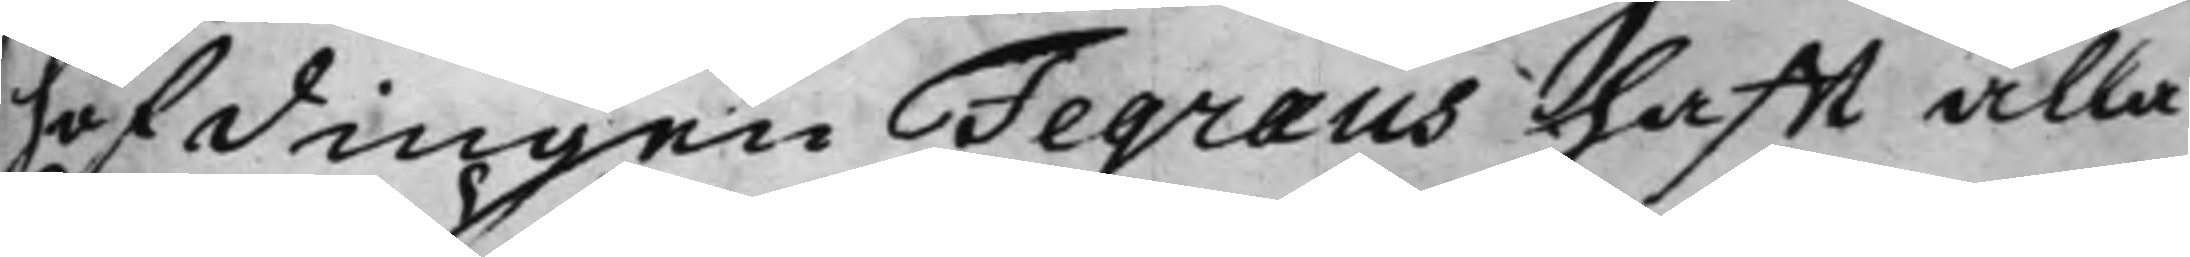höfdingen Fegraeus hafft alla
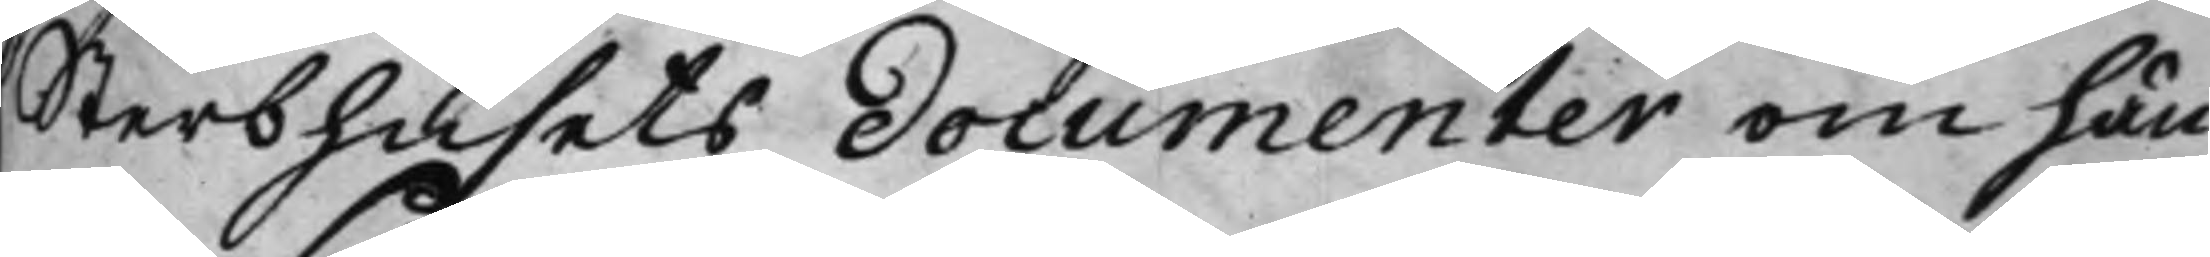Sterbhusets Documenter om hän¬
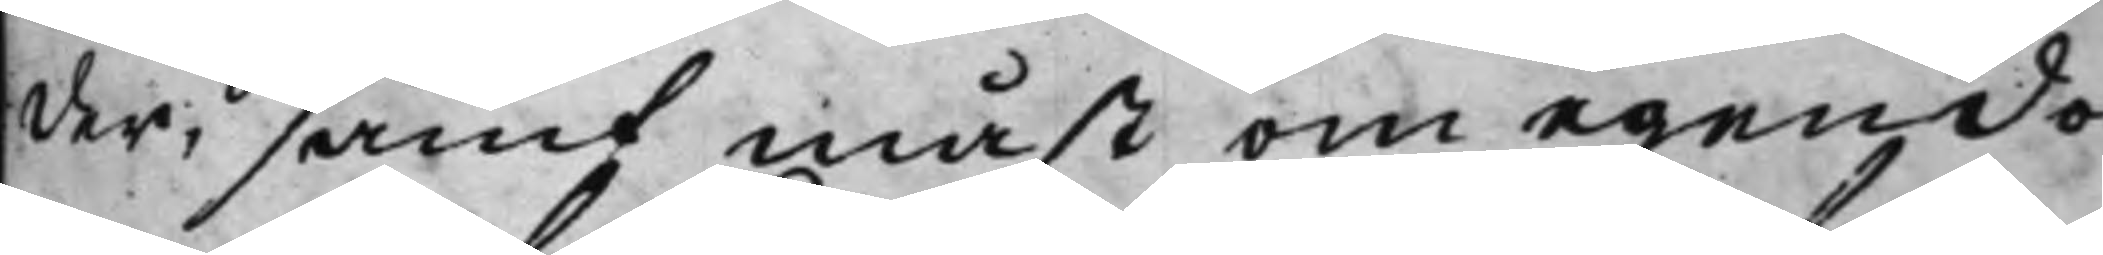der, samt måst om egendo¬
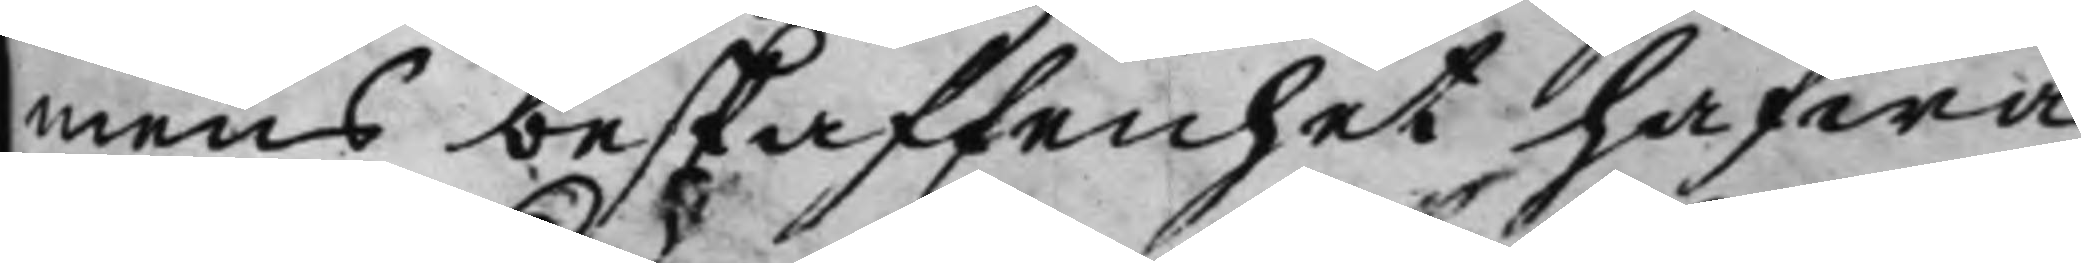mens beskaffenhet hafwa
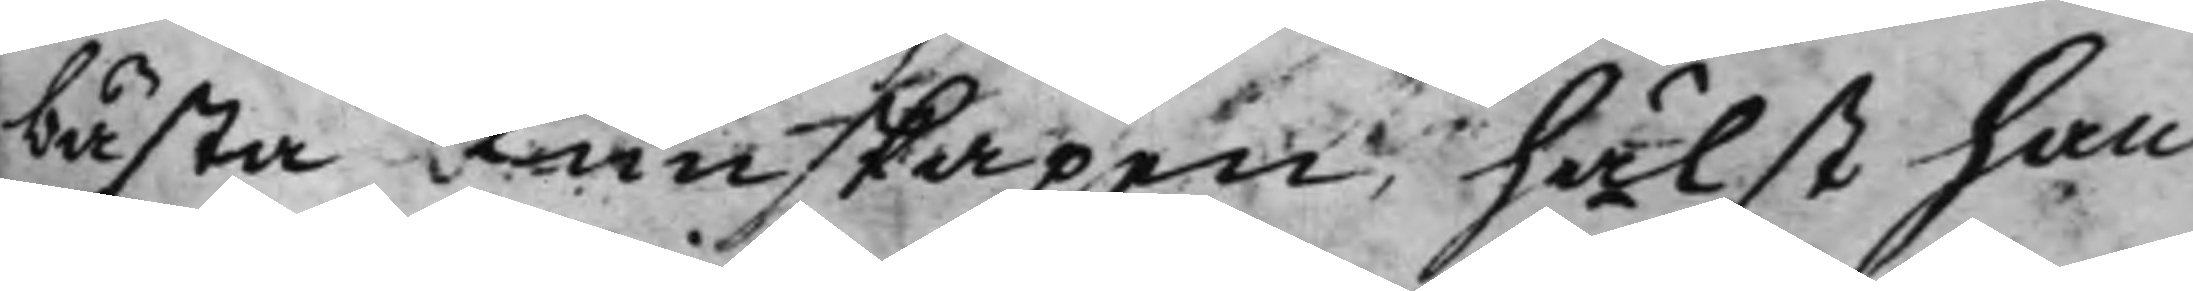bästa Kunskapen, hälst han
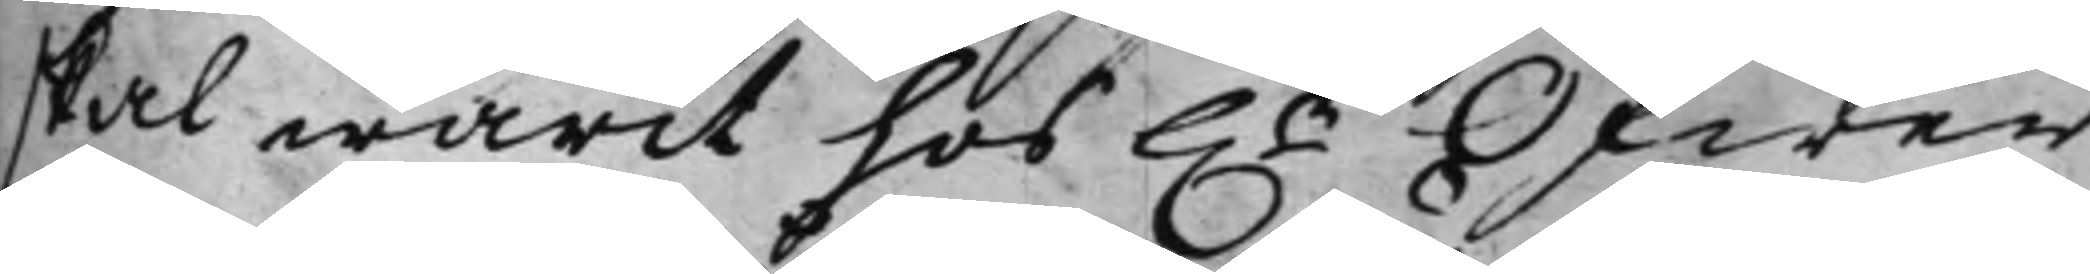skal warit hos h.r Öfwer¬
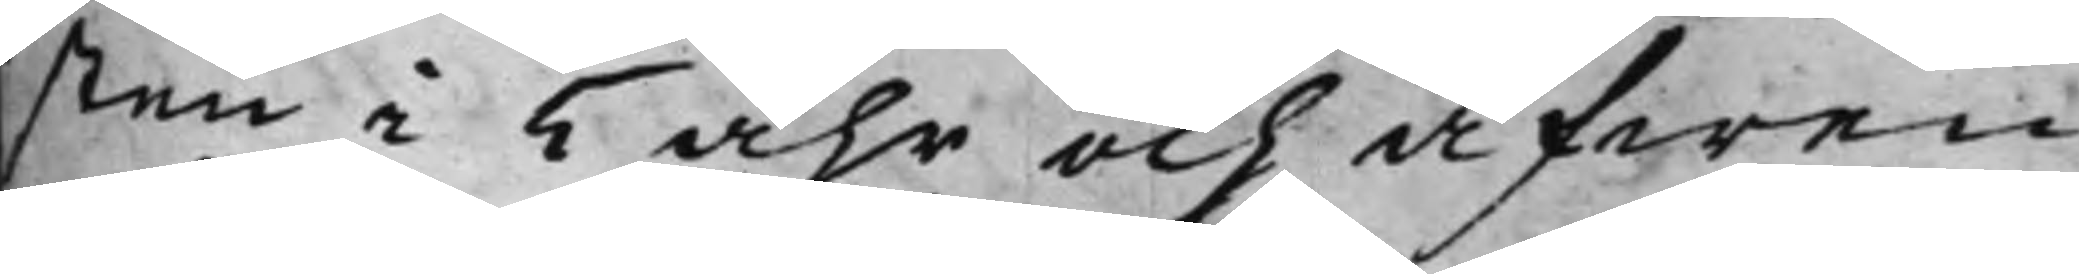sten i 5 åhr och äfwen
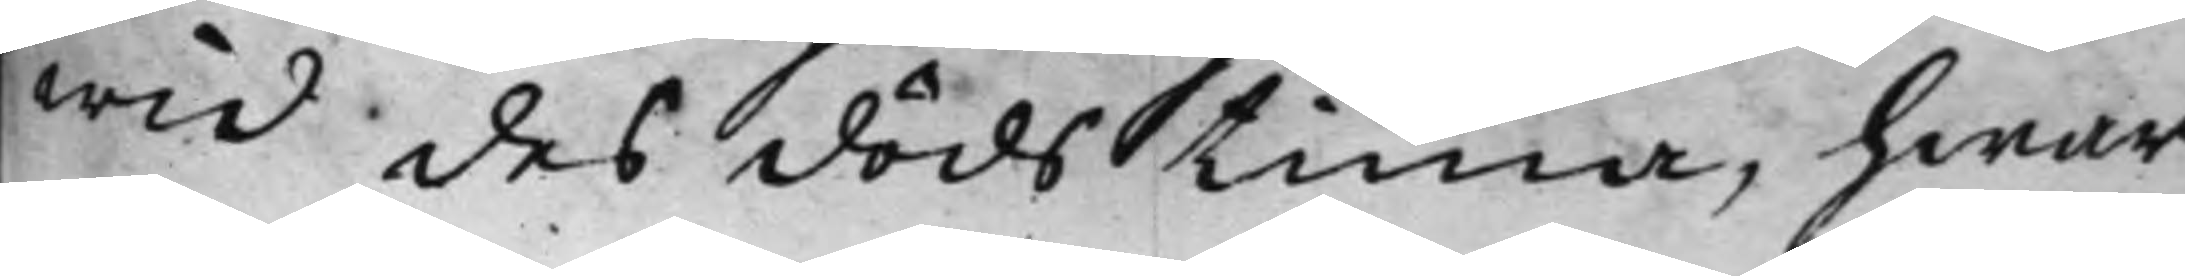wid des dödstima, hwar¬
